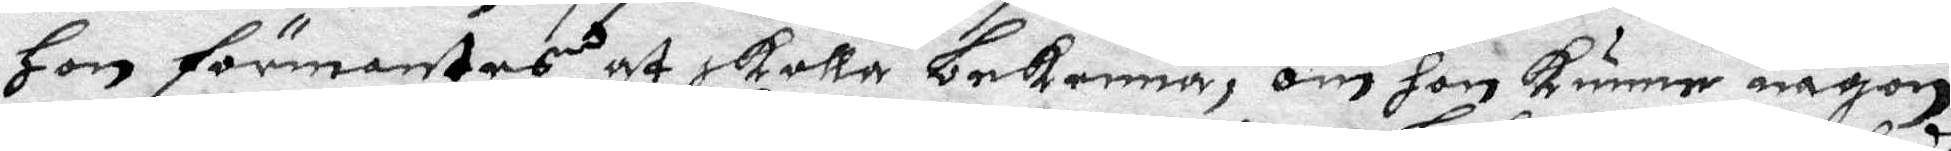Hon förmantes at skolla bekenna, om hon kunne någon
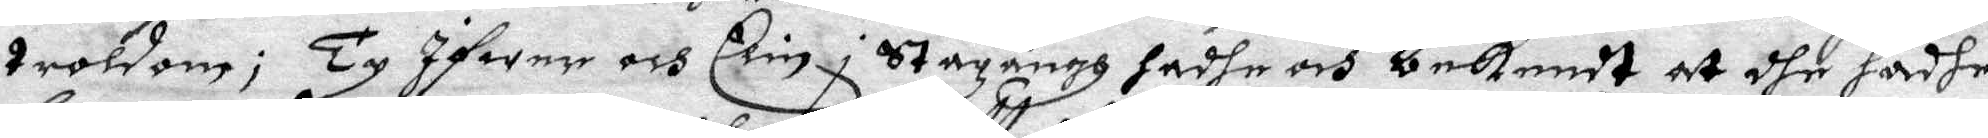troldom; Ty Ifwer och Elin i Stazängh hadhe och bekendt at dhe hadhe
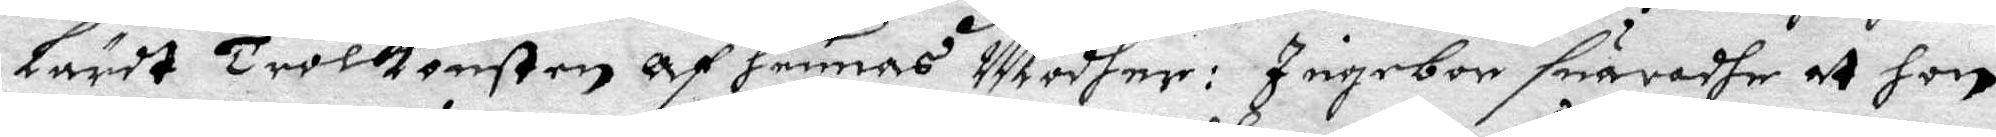lärdt Trolkonsten af hennes Modher: Ingebor suaradhe at hon
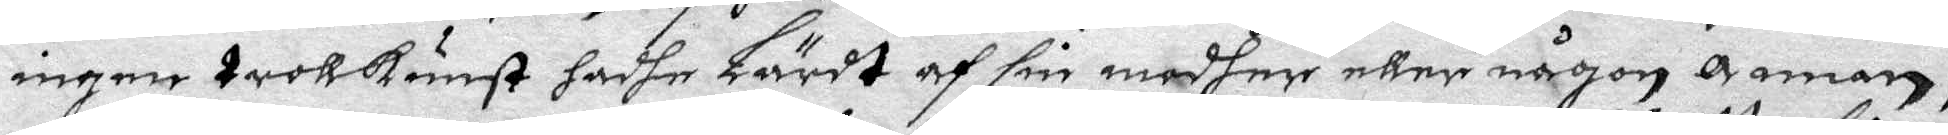ingen trolkunst hadhe Lärdt af sin modher eller någon annan,
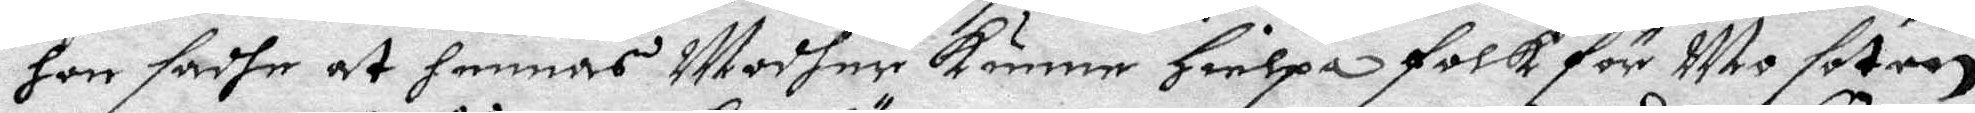hon sadhe at hennes Modher Kunne Hielpa folk för Mo soten
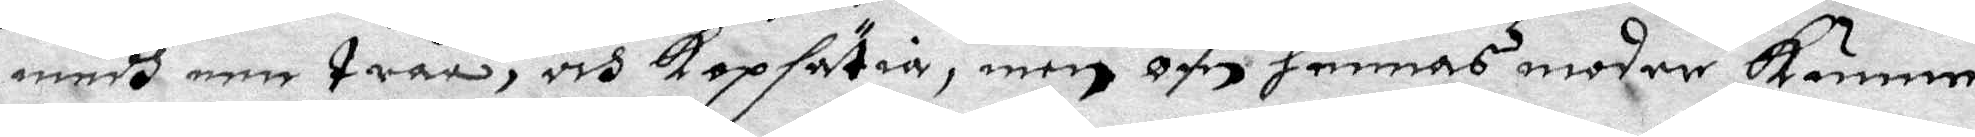medh een tråå, och Kepsätia, men om hennes moder kunne
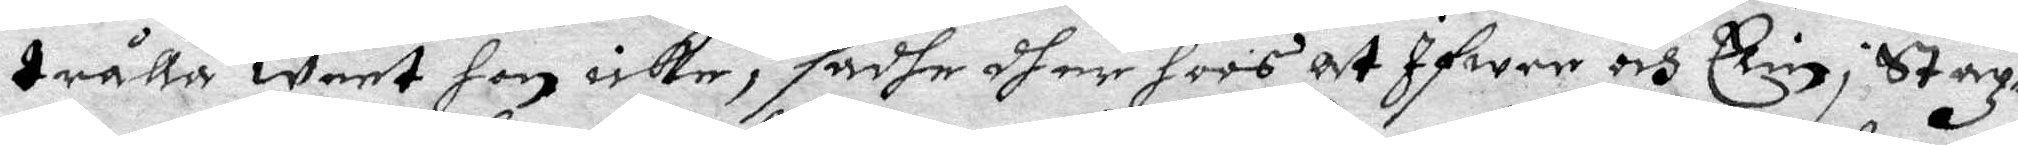trålla weet hon icke, sadhe dher hoos at Ifwer och Elin i Staz¬
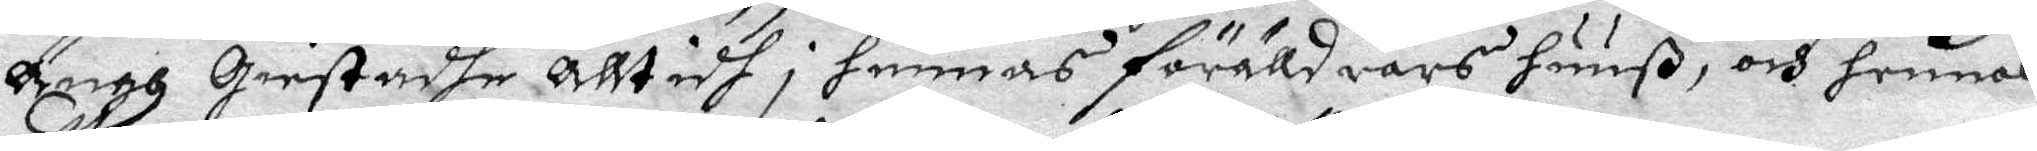ängh Giestadhe alltidh i hennas förälldrars huuß, och hennes
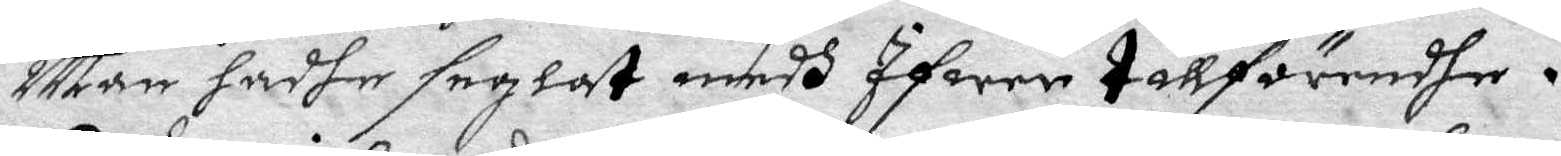Man hadhe seglat medh Ifwer tillförendhe.
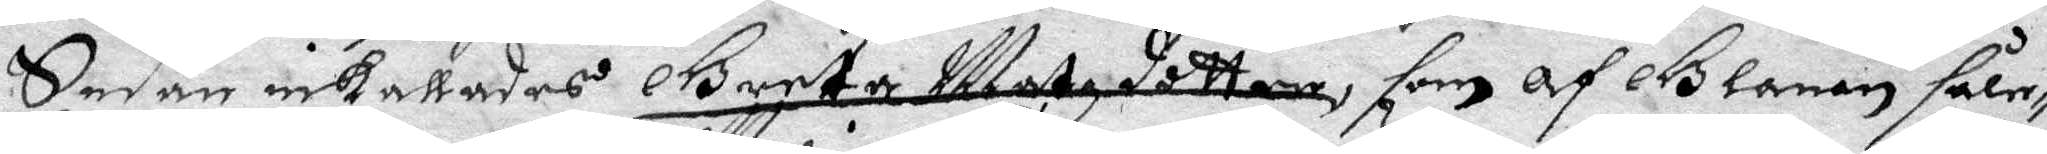Sedan inkallades Greta Matzdotter, som af Glanan såle¬
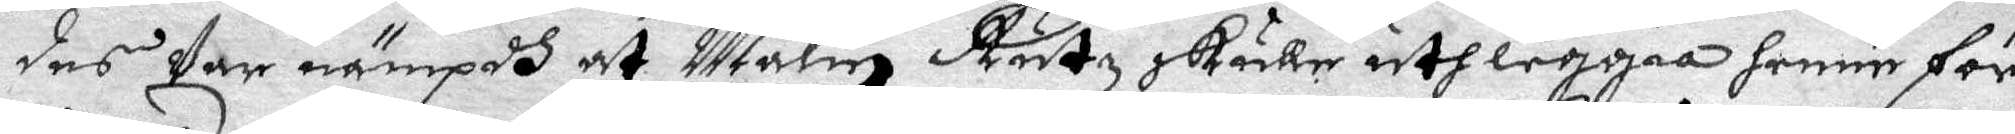des Var nämpdh at Malin Rutz skulle uthleggia henne för
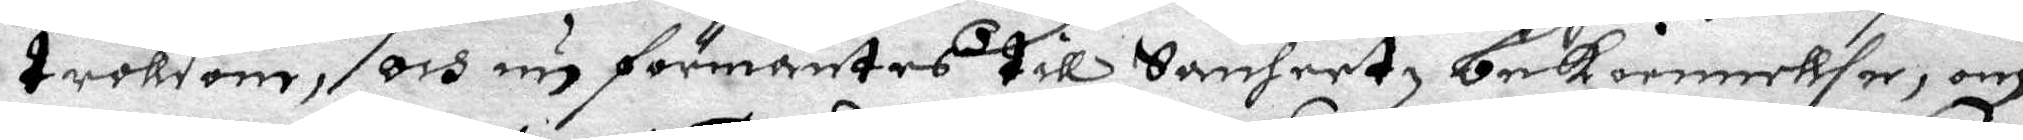troldom, och nu förmantes till Sanheetz bekiennellse, om
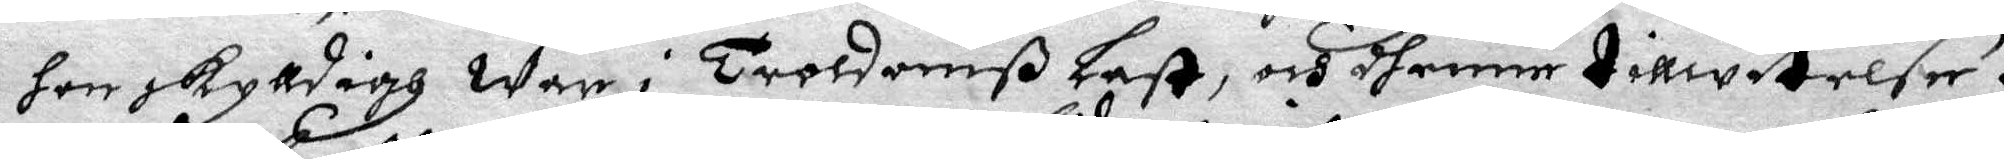hon skylldigh war i Troldomß Last, och dhenne tillwitelse.
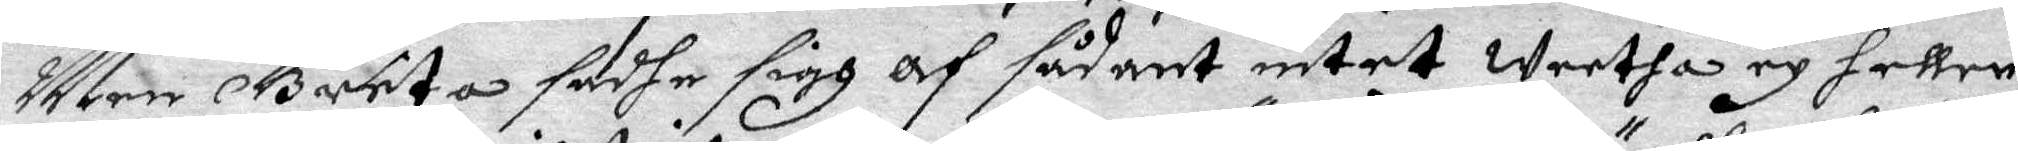Men Greta sadhe sigh Af sådant intet weetha ey heller
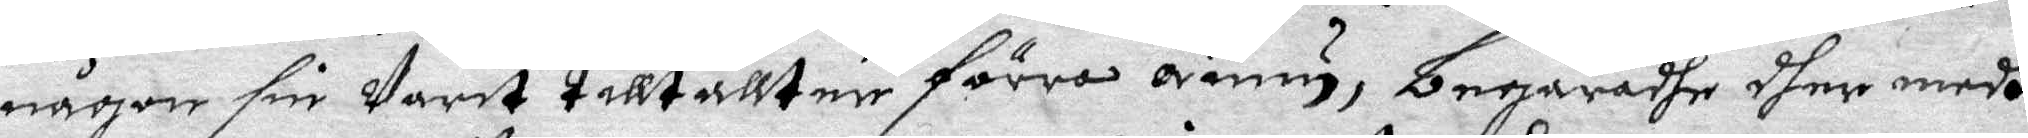någon sin warit talt tallter förra ännu, begäradhe dher medh
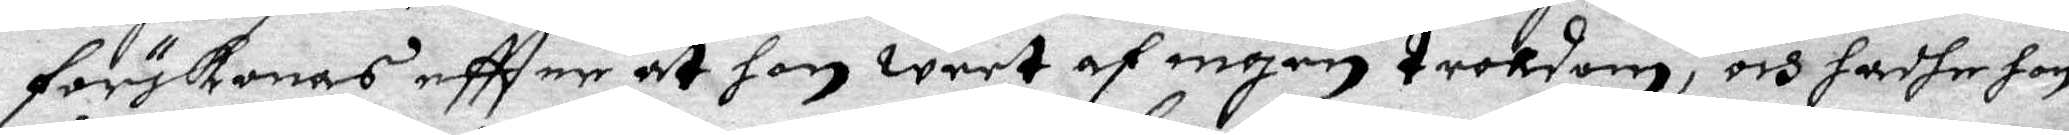förskonas eftter at hon weet af ingen troldom, och hadhe hon
